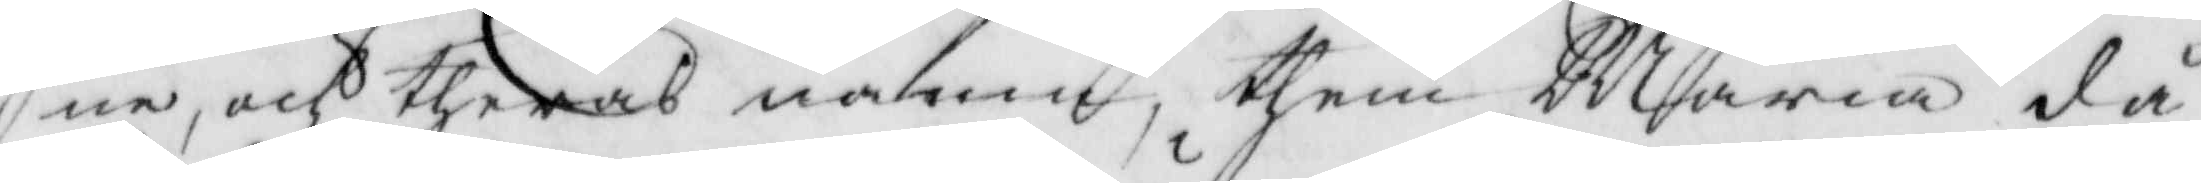ne, och theras namn, them Maria då
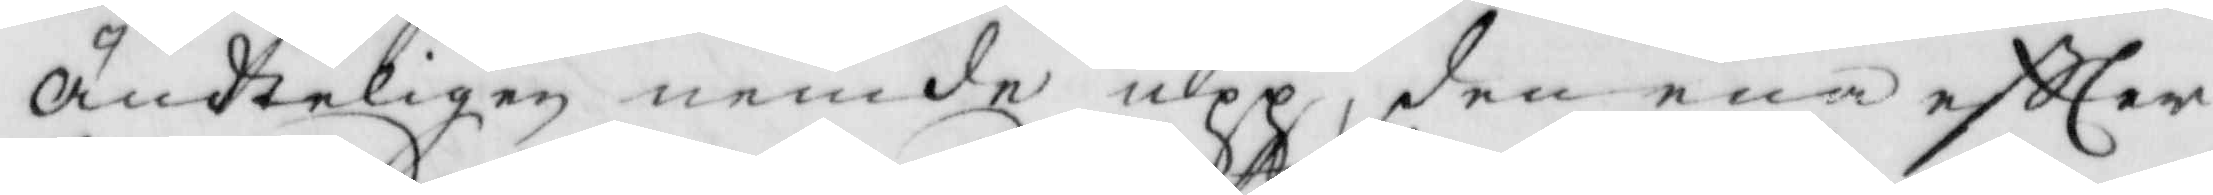ändteligen nemde upp, den ena eftter
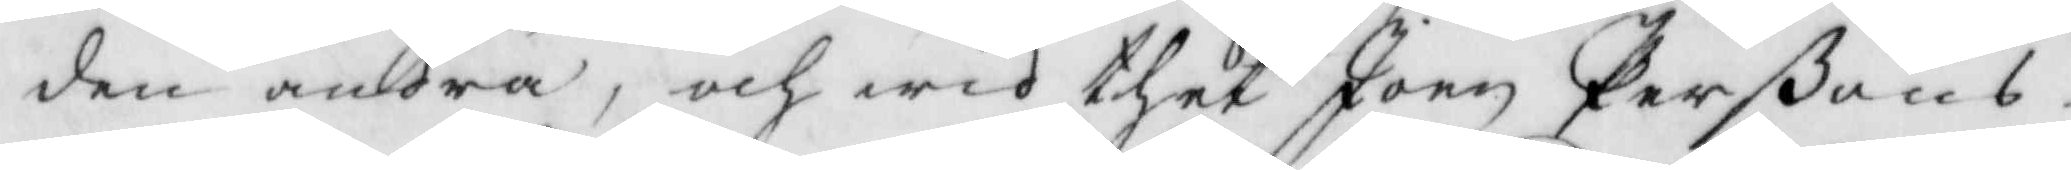den andra, och wid thet Joen Perßons
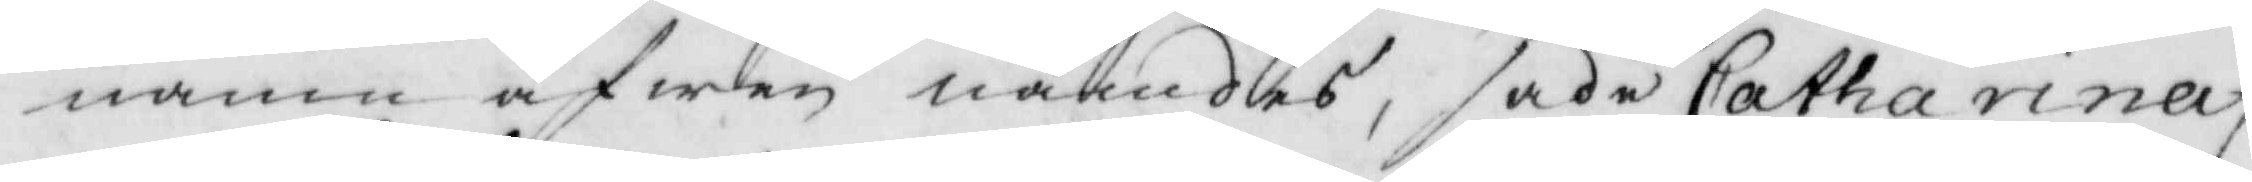namn äfwen nämdes, sade Catharina,
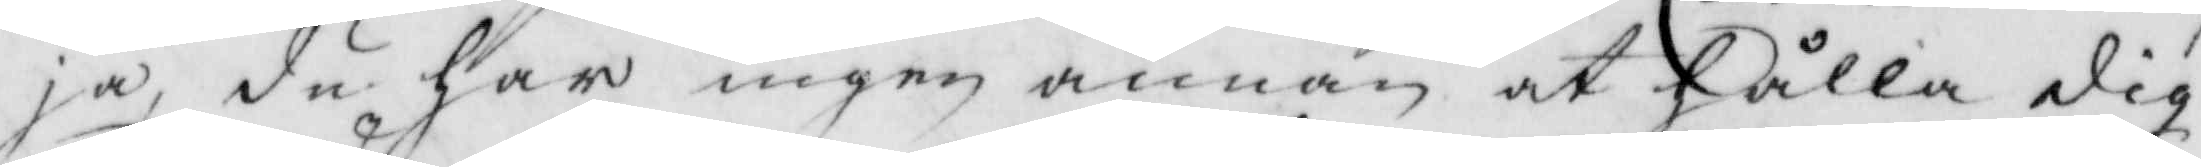ja, du har ingen annan at hålla dig
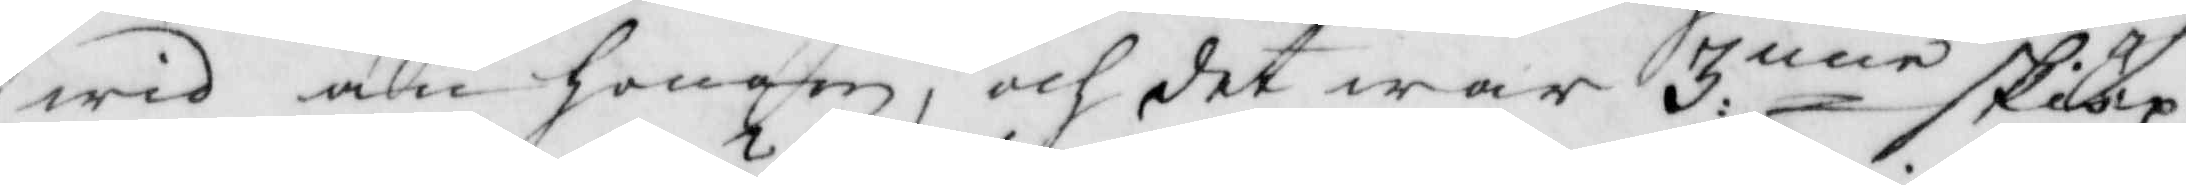wid än honom, och det war 3:nne skiäp¬
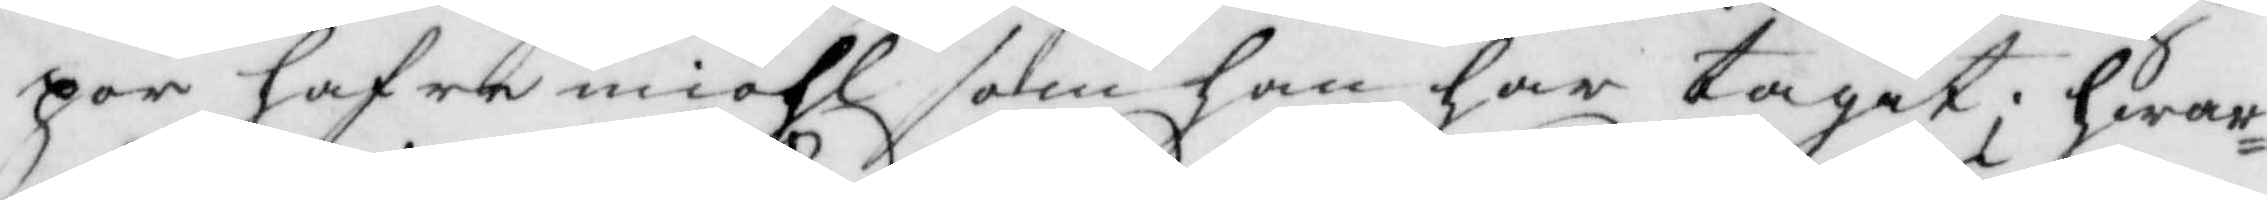por hafre miöhl som han har tagit; hwar¬
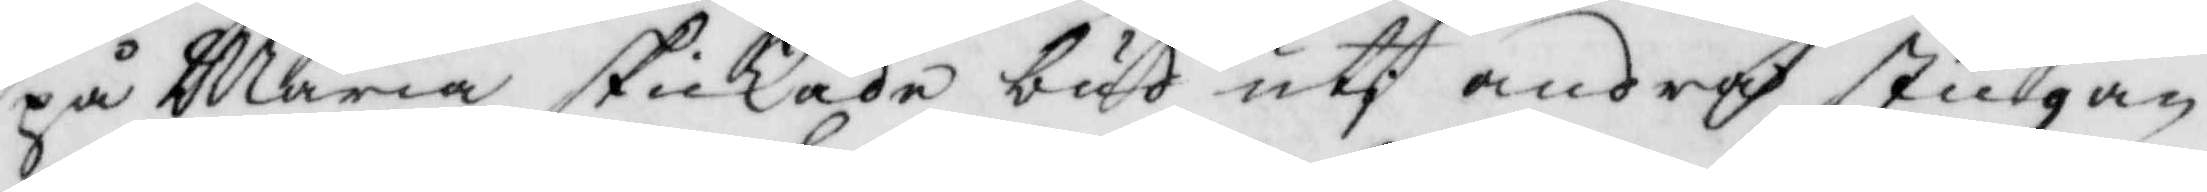på Maria skikade bud uti andra stugan
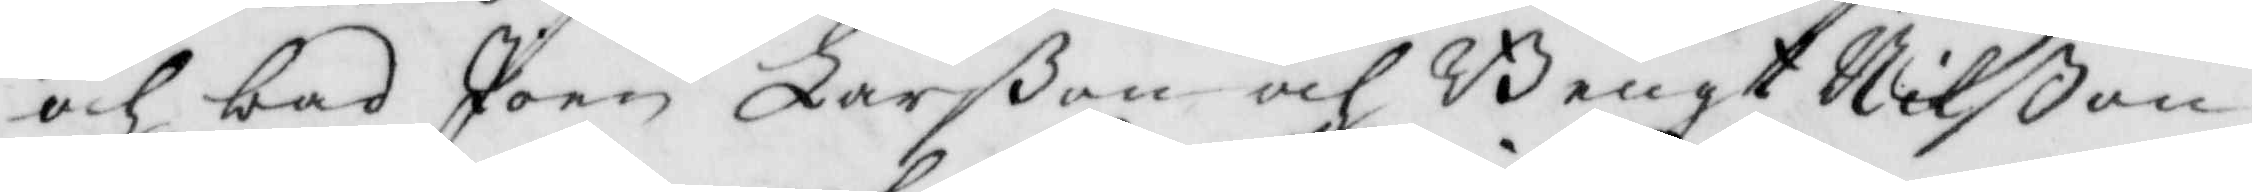och bad Joen Larßon och Bengt Nilßon
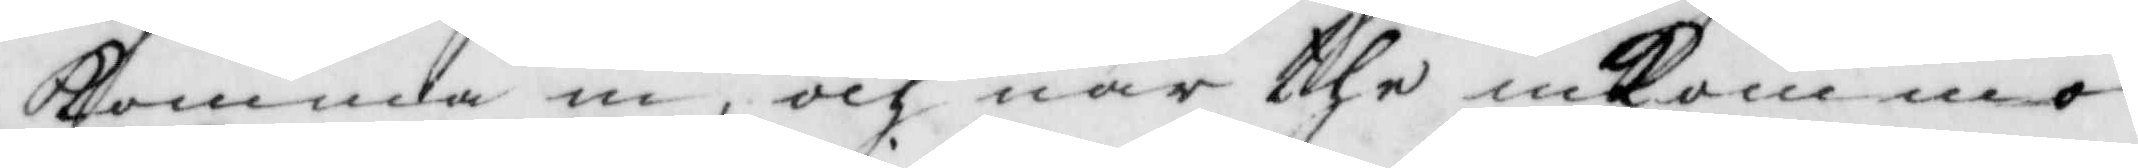komma in, och när the inkommo
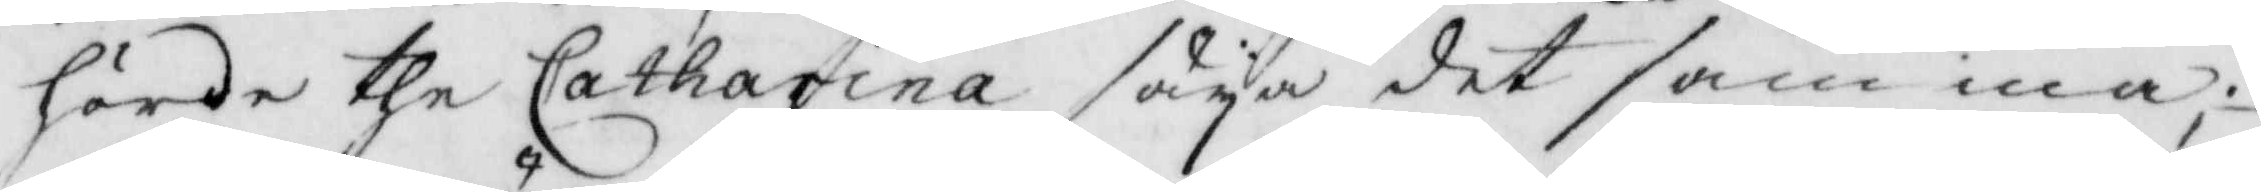hörde the Catharina säya det samma;
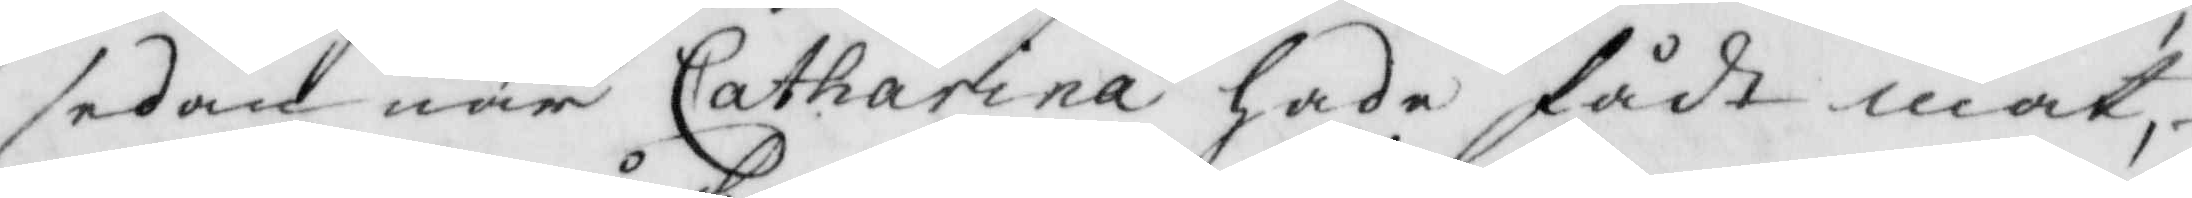sedan när Catharina hade fådt mat
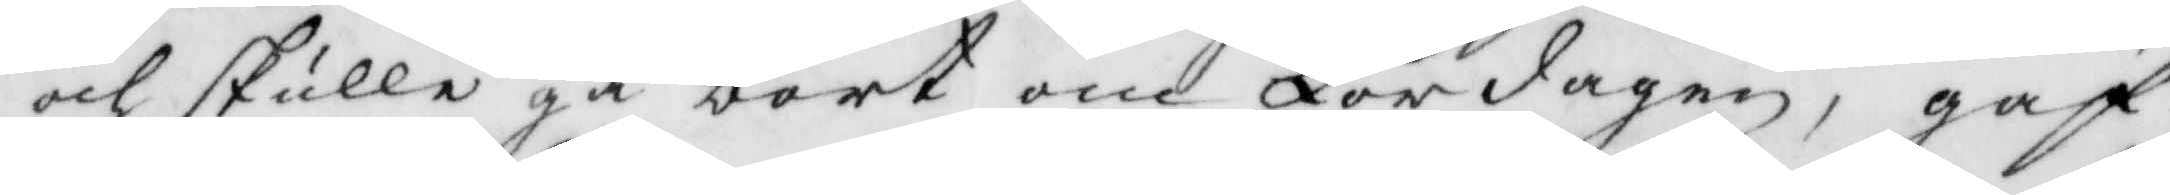och skulle gå bort om Lördagen, gaf
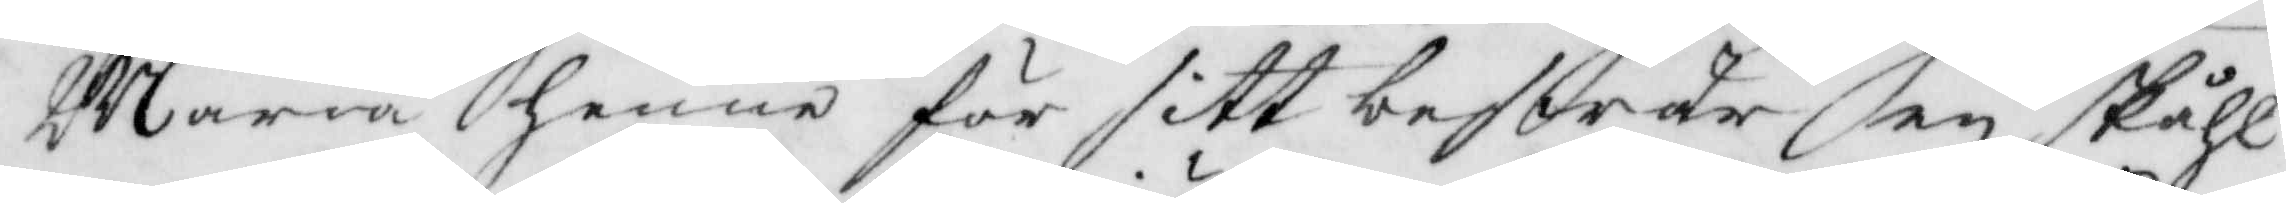Maria henne för sitt beswär en skåhl
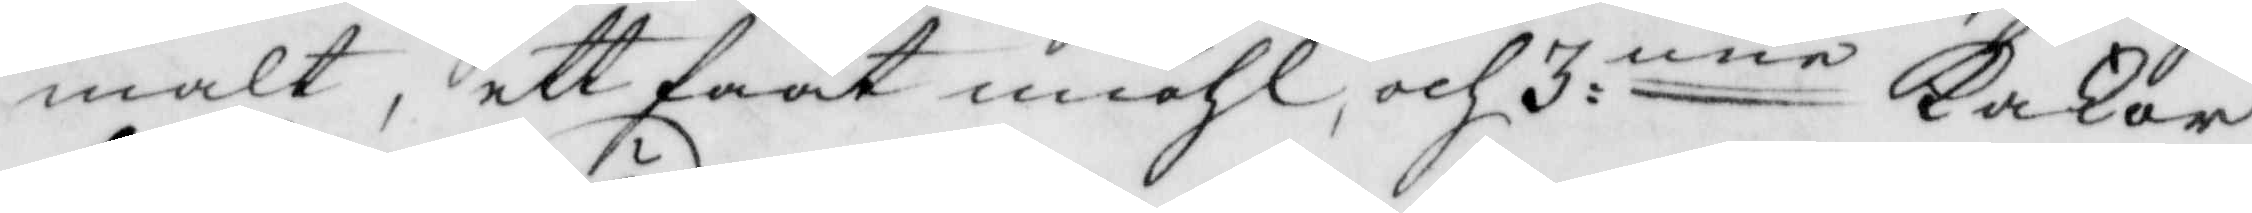malt, ett faat miöhl, och 3:nne kakor
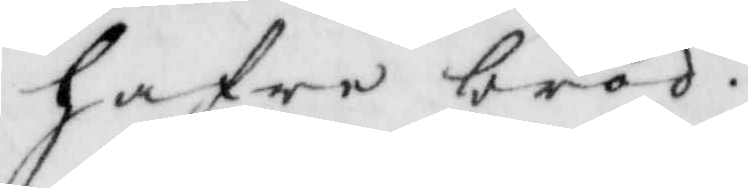hafre bröd.
